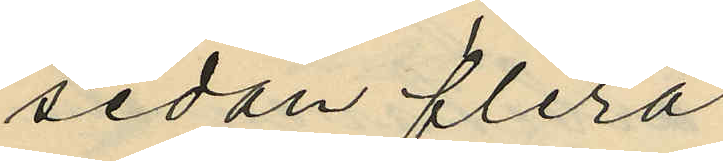sedan flera
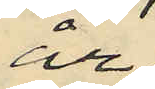år
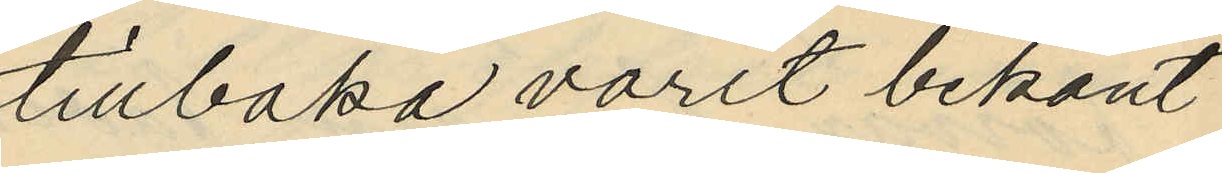tillbaka varit bekant
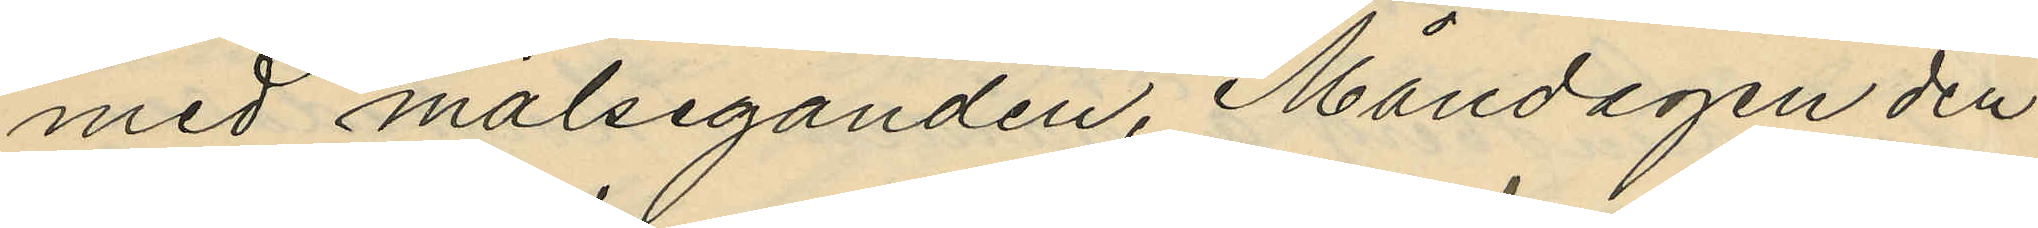med målseganden, Måndagen den
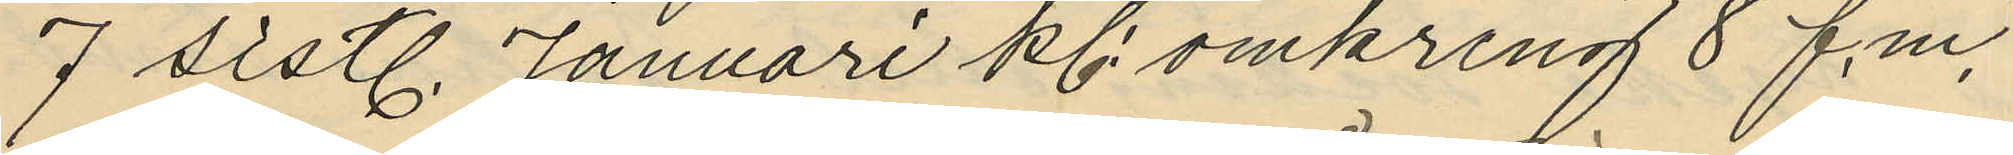7 sistl. Januari kl. omkring 8 f.m.
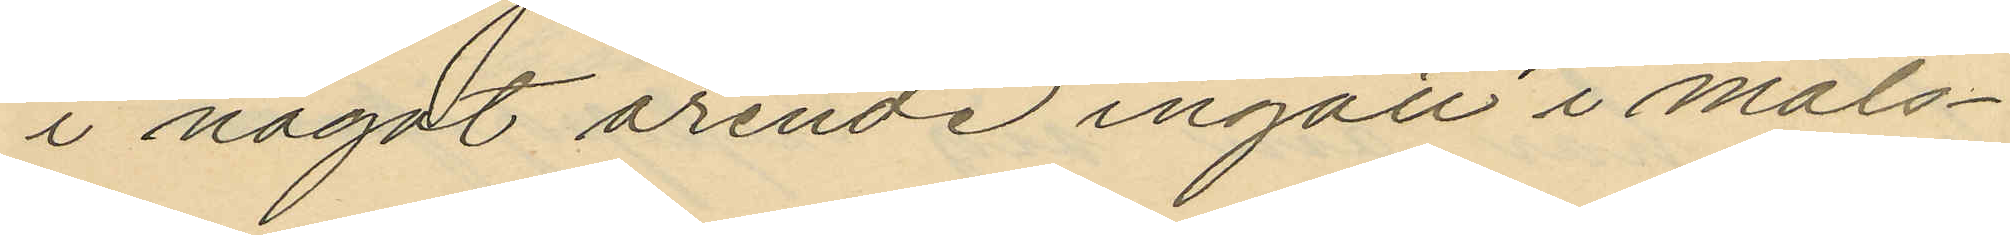i något ärende ingått i måls¬
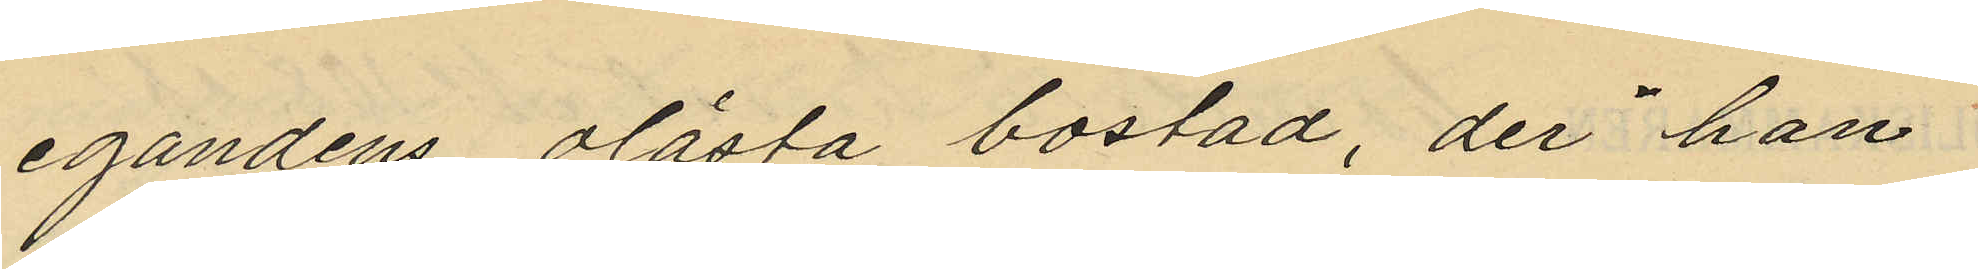egandens olåsta bostad, der han
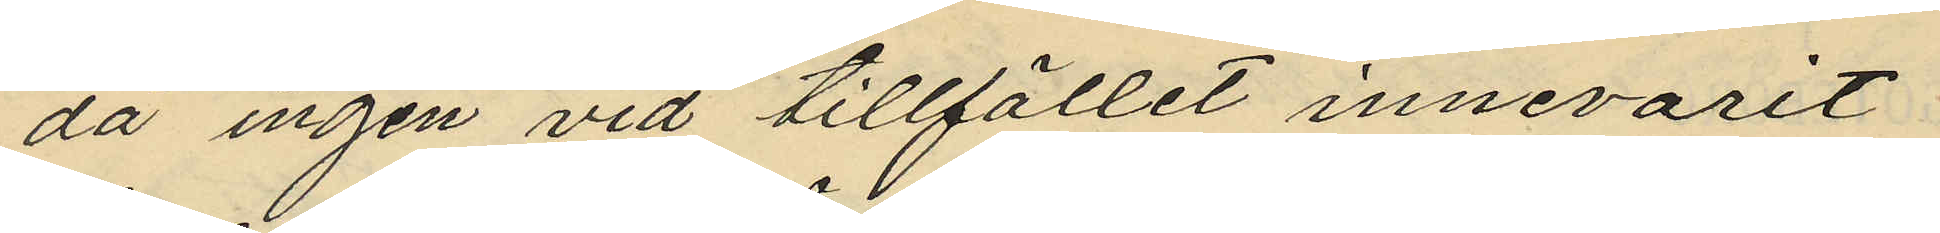då ingen vid tillfället innevarit
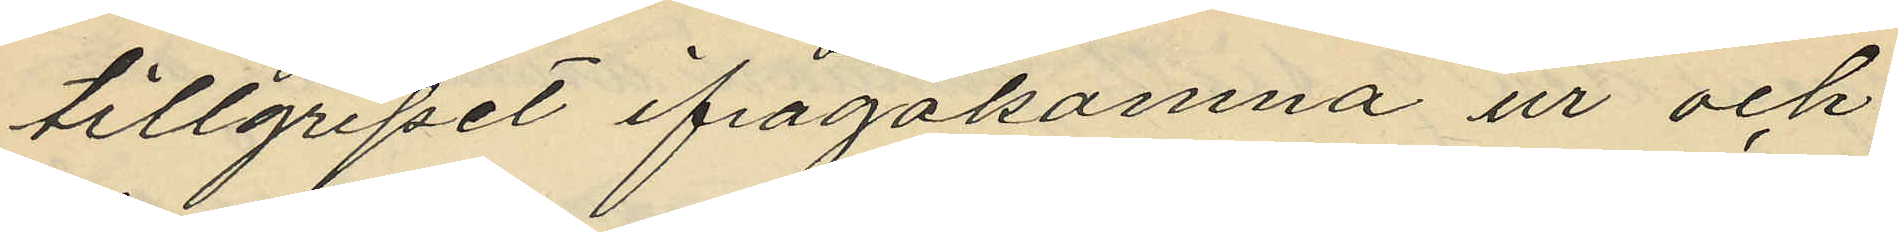tillgripit ifrågakomna ur och
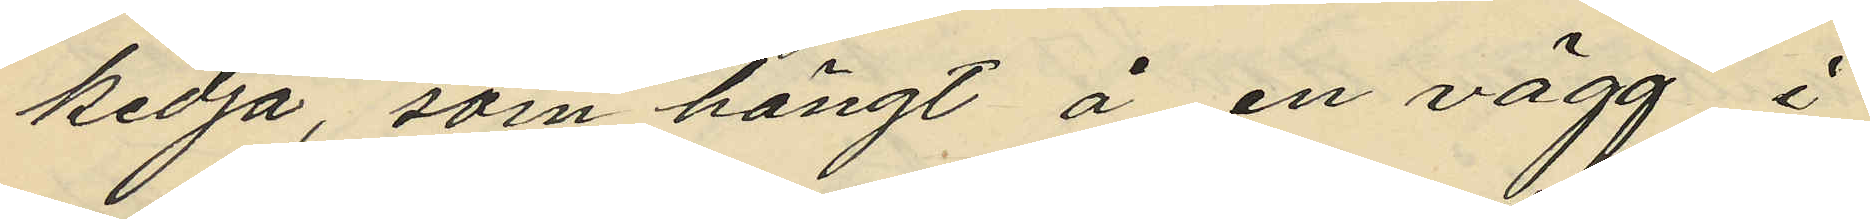kedja, som hängt å en vägg i
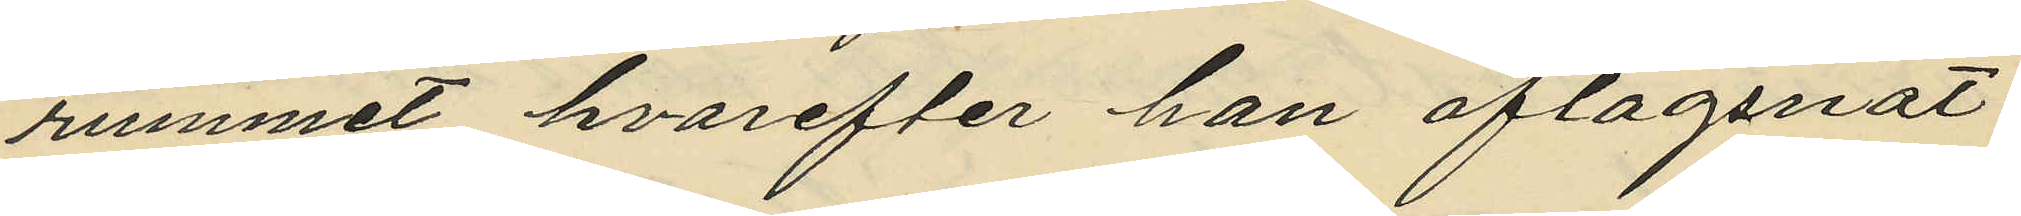rummet, hvarefter han aflägsnat
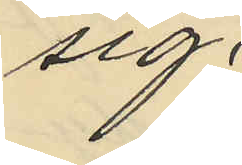sig;
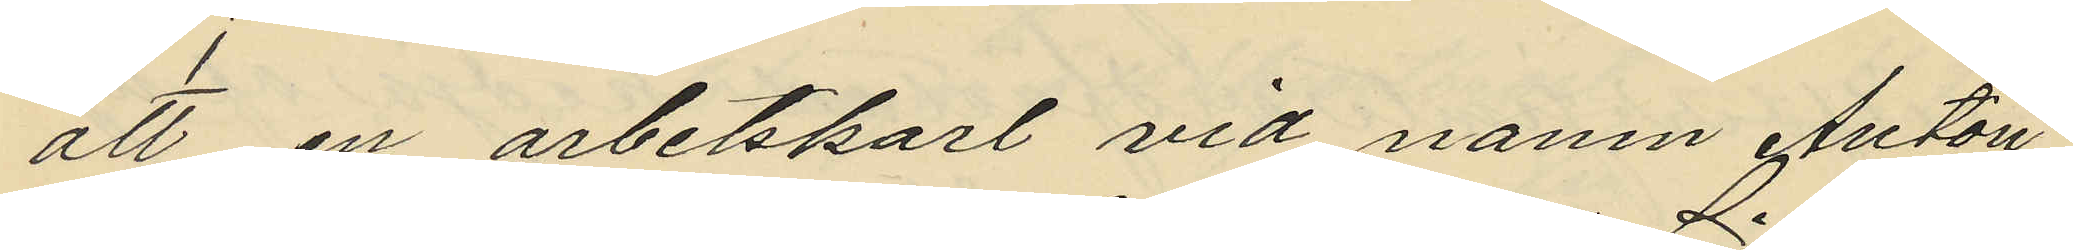att en arbetskarl vid namn Anton
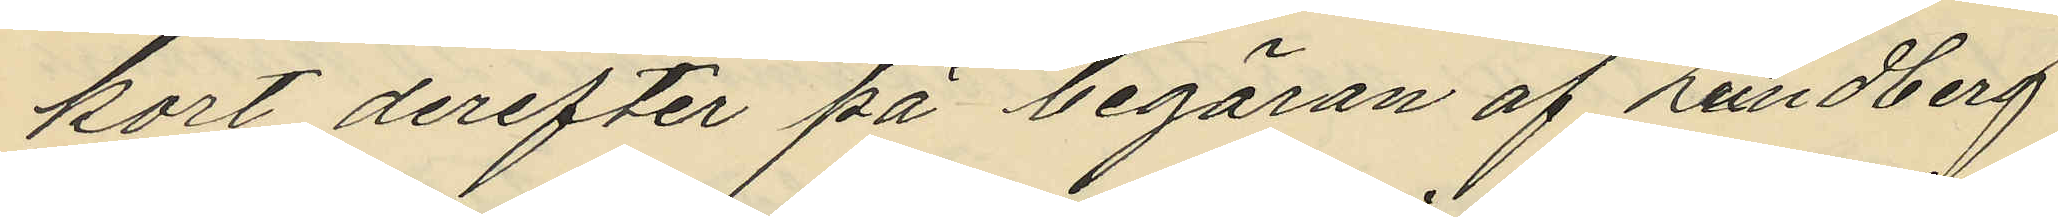kort derefter på begäran af Lundberg
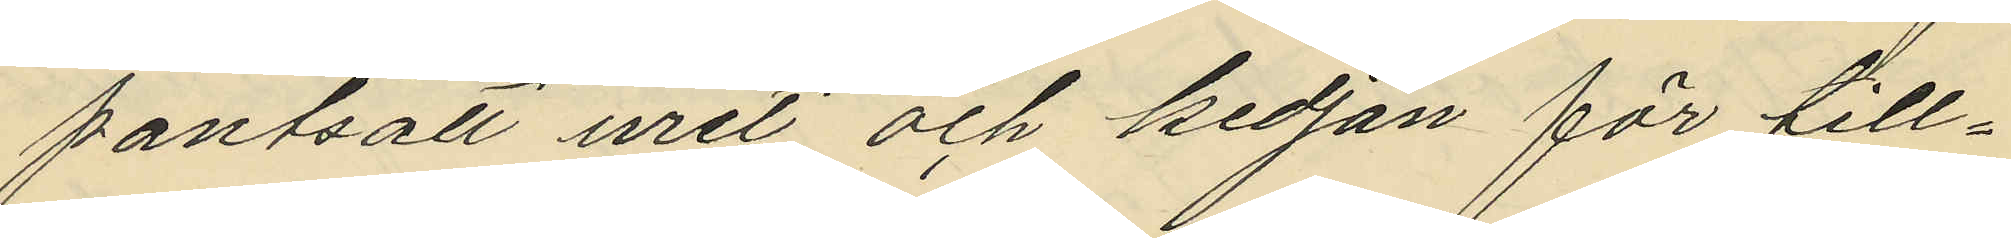pantsatt uret och kedjan för till¬
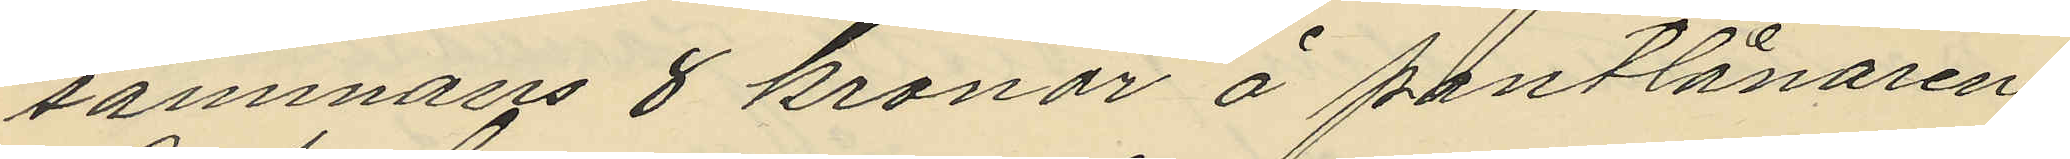sammans 8 kronor å pantlånaren
